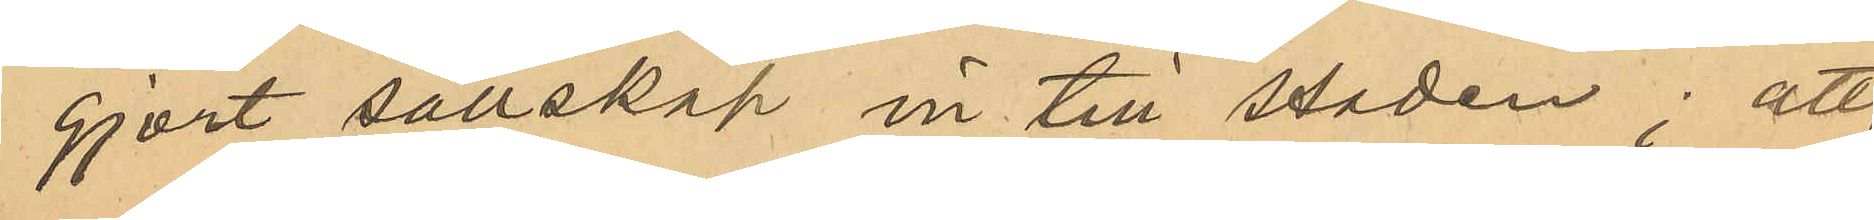gjort sällskap in till staden; att 
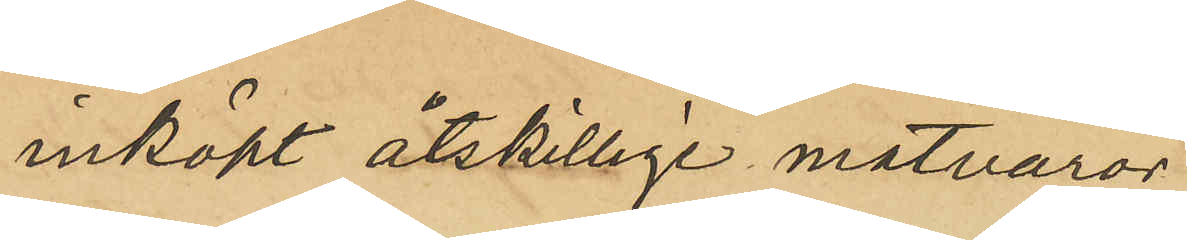inköpt åtskillige matvaror,
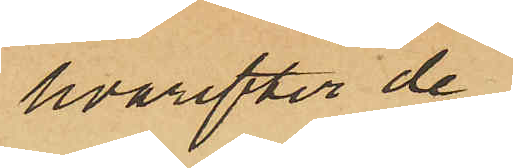hvarefter de
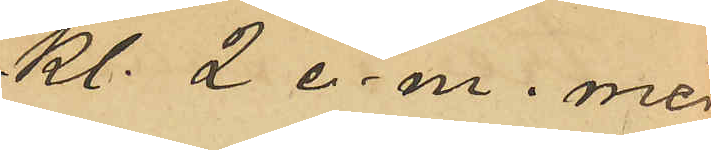Kl 2 e. m. med
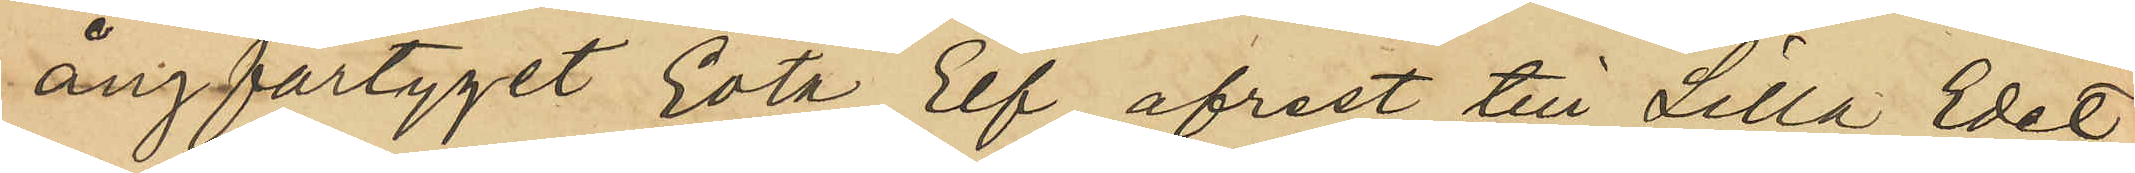ångfartyget Göta Elf afrest till Lilla Edet,
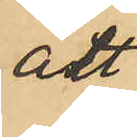att
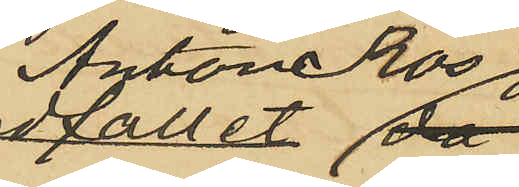Anton Ros
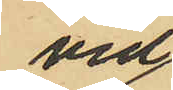vid
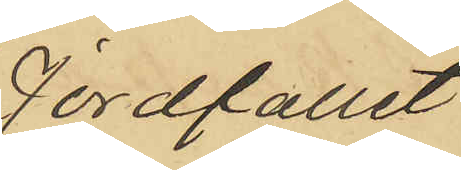Jordfallet
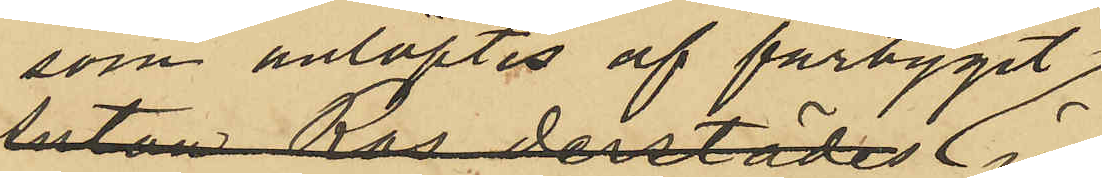som anlöptes af fartyget
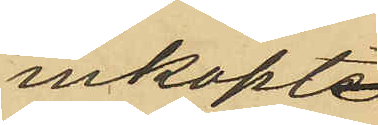inköpte
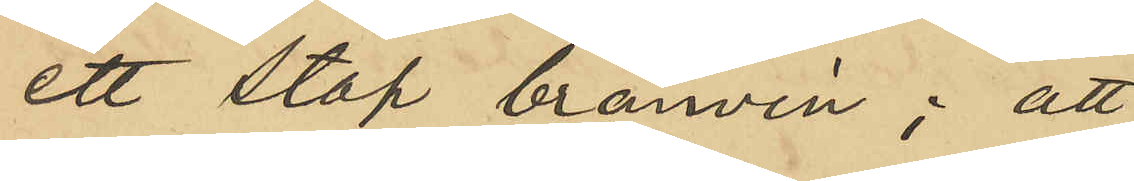ett stop brännvin; att
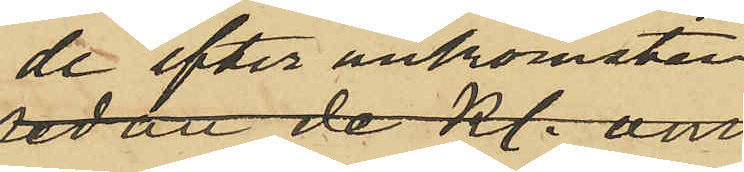de efter ankomsten
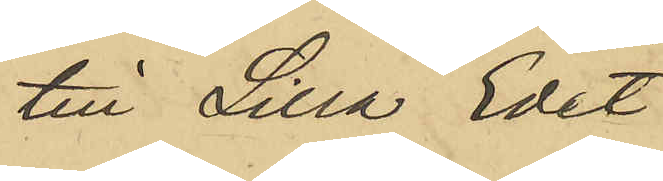till Lilla Edet
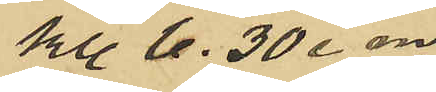Kl. 6,30 e. m
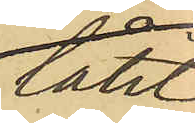låtit
